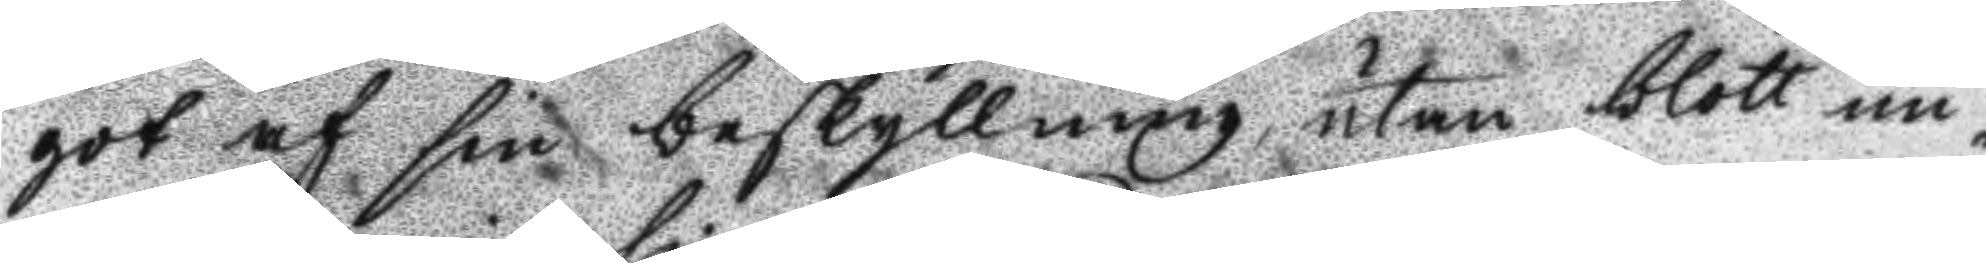got af sin beskyllning utan blott un¬
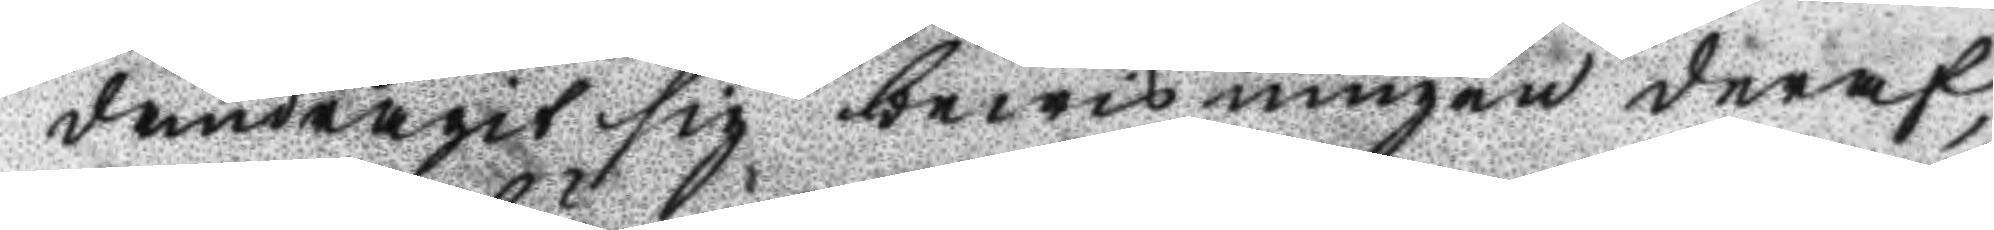dandragit sig bewisningen deraf,
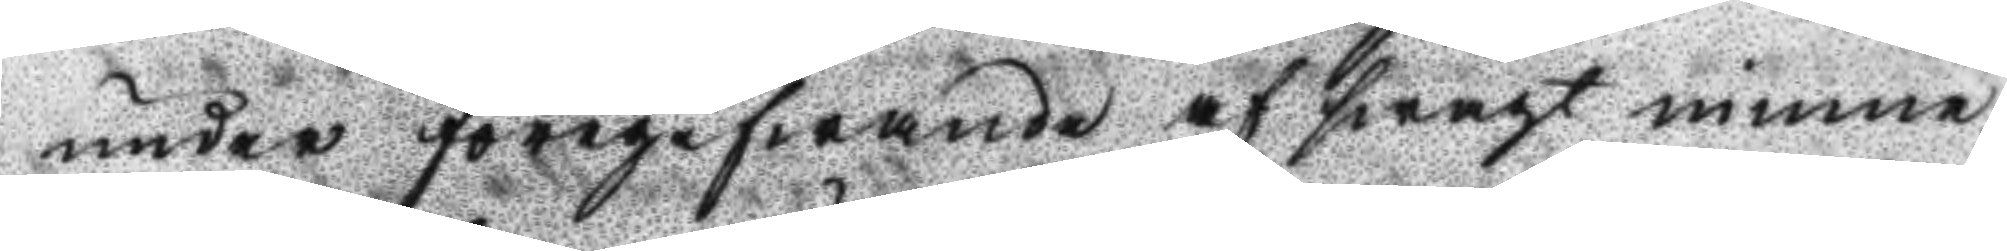under föregifwande af swagt minne:
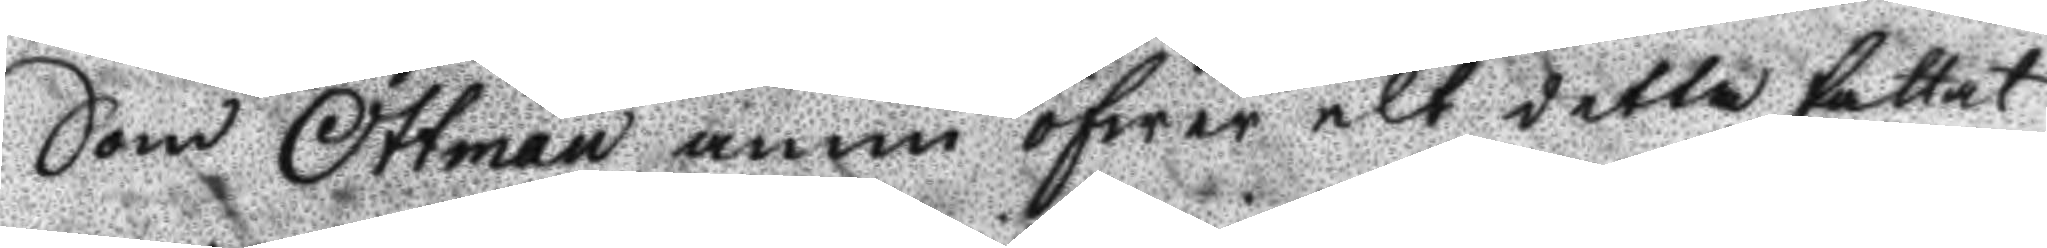Som Ottman ännu öfwer alt detta fattat
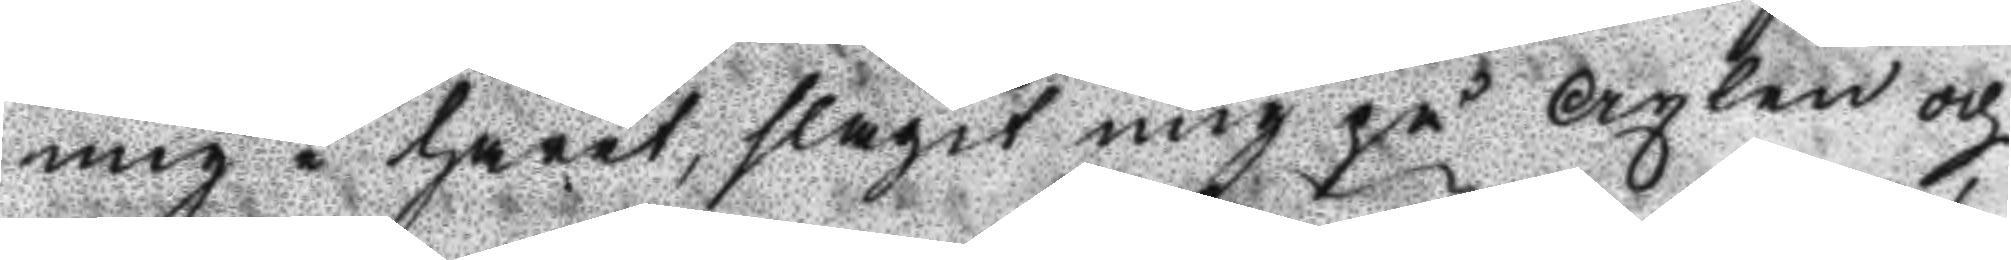mig i håret, slagit mig på Axlen och
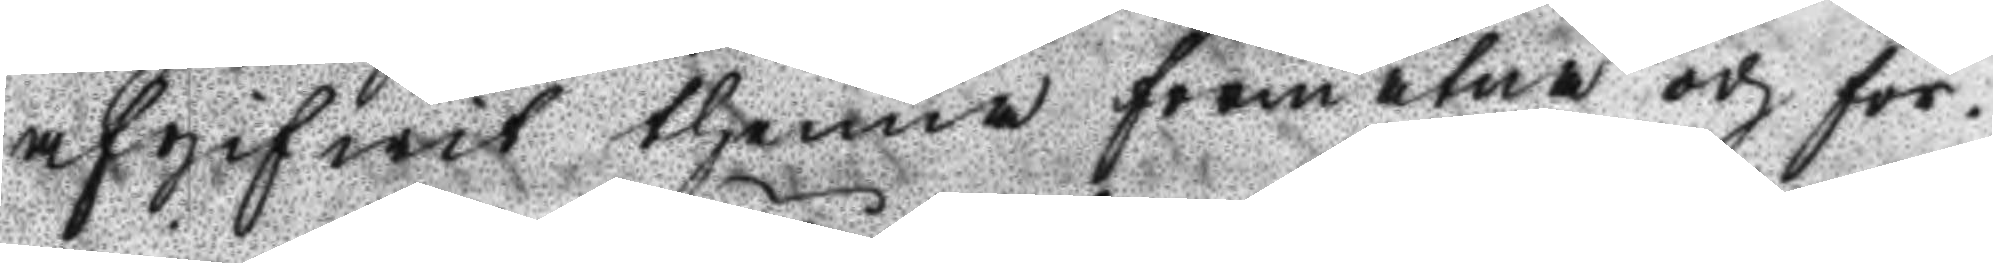afgifwit thenna förmätne och för¬
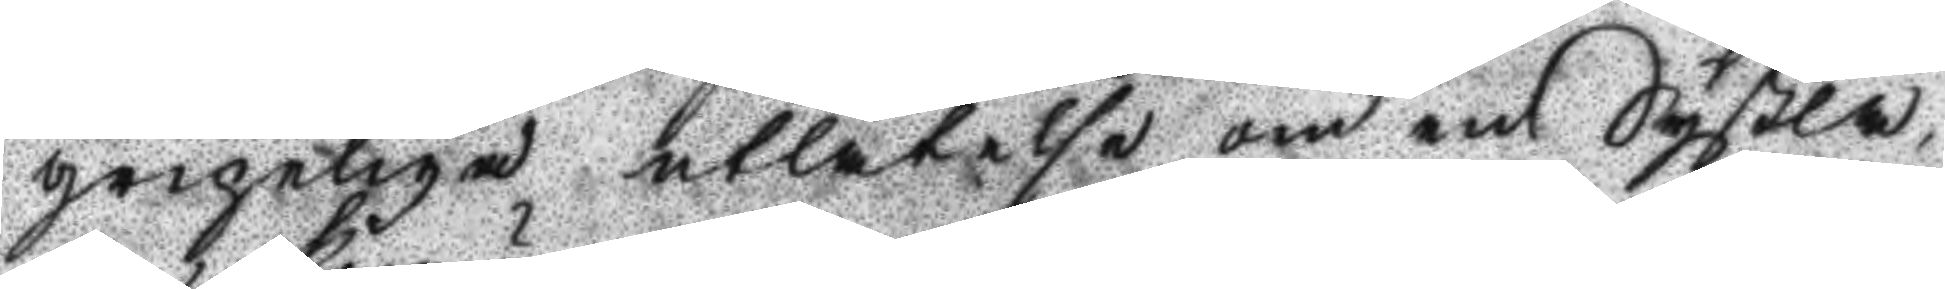gripeliga utlåtelse om en Syßla,
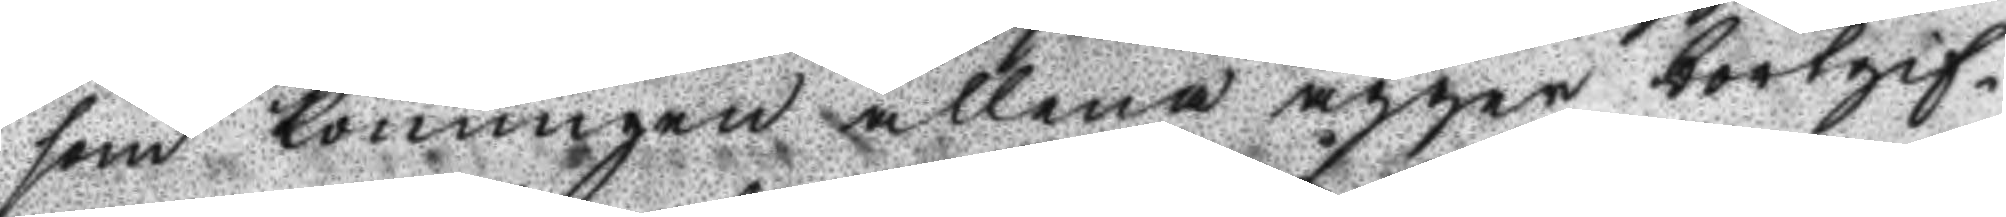som Konungen allena ägger bortgif¬
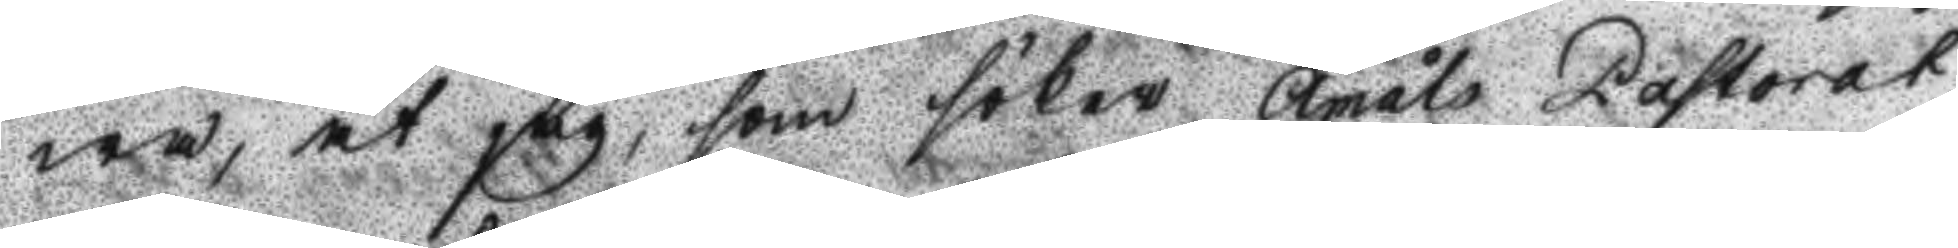wa, at jag, som söker Åmals Pastorat,
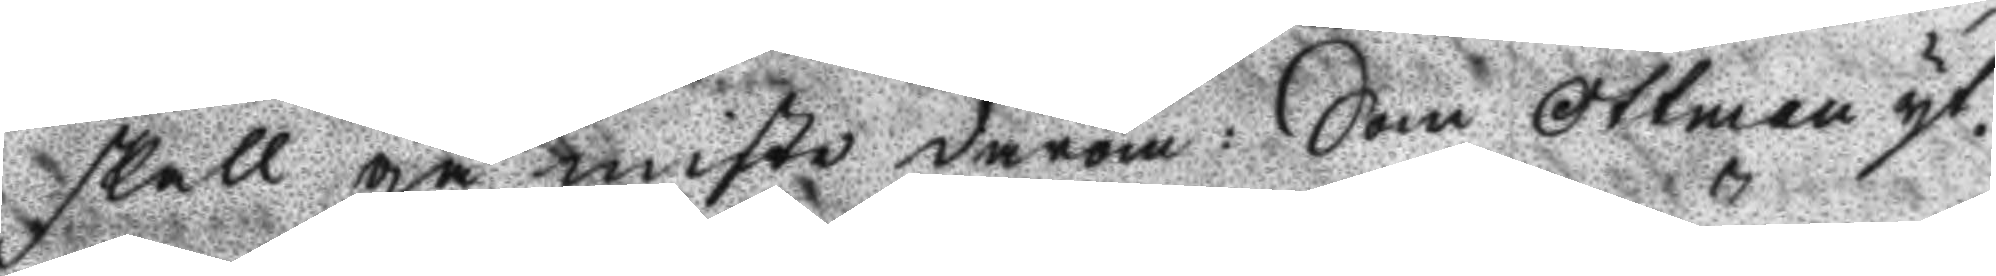skall gå miste därom: Som Ottman yt¬
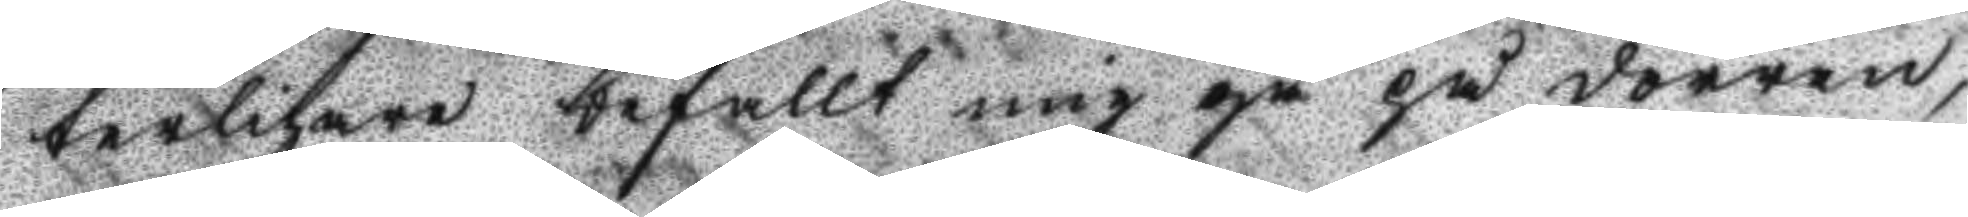terligare befallt mig gå på dörren,
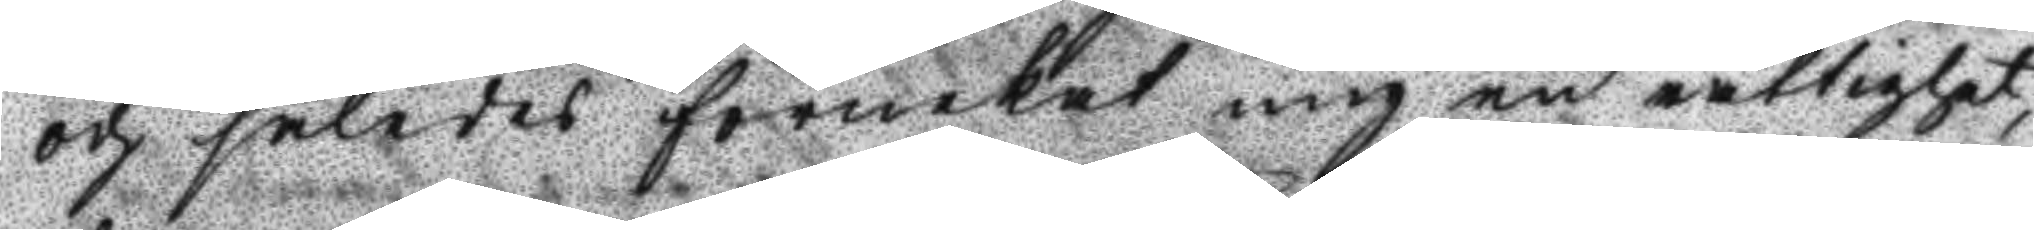och således förnekat mig en rättighet,
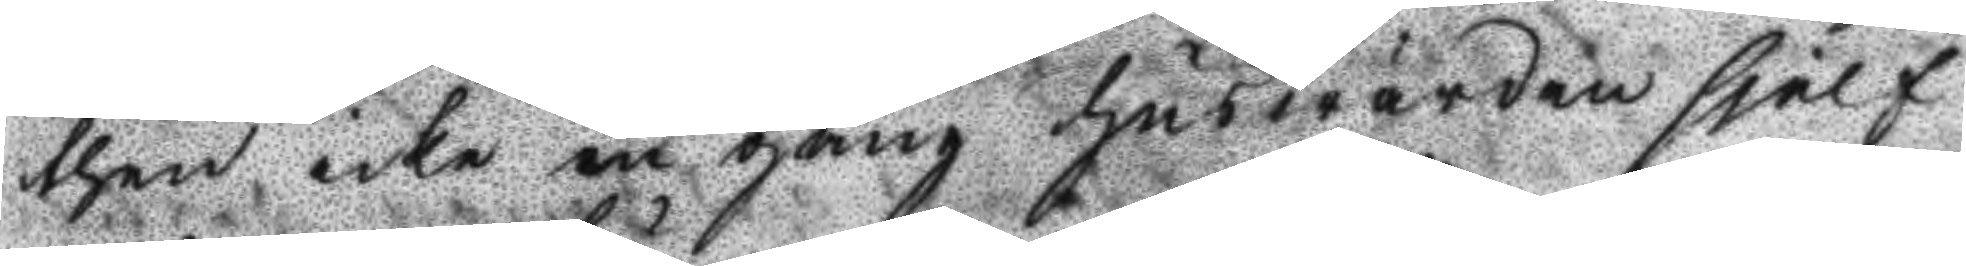then icke än gång huswärden sjelf
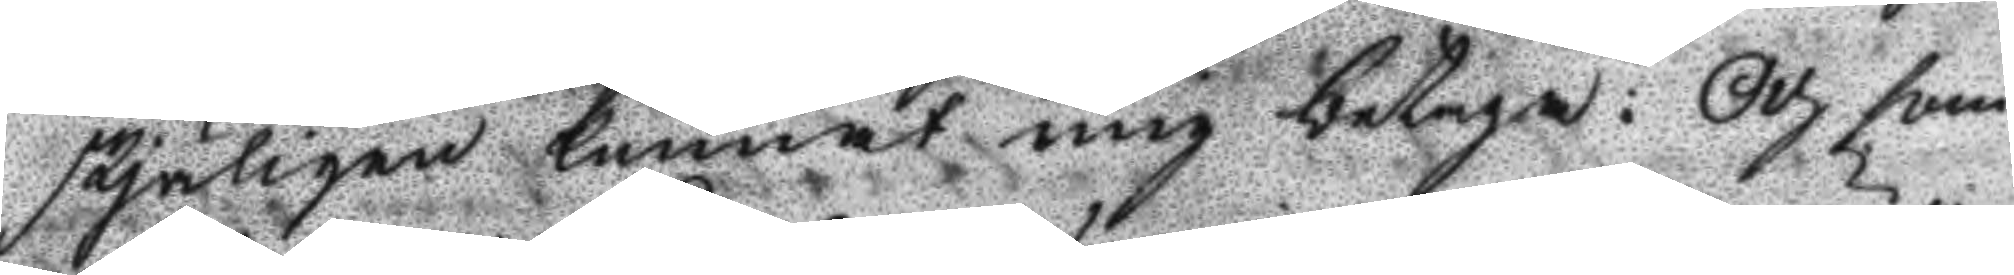skjäligen kunnat mig betaga: och som
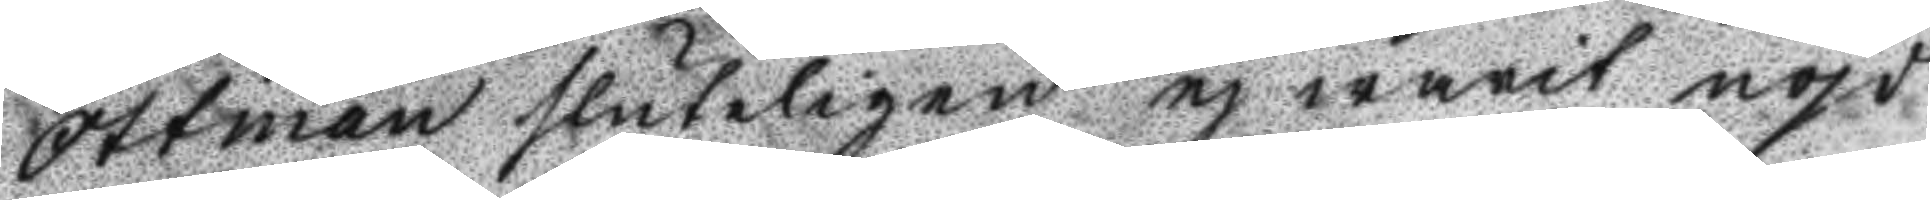Ottman sluteligen ej warit nöjd
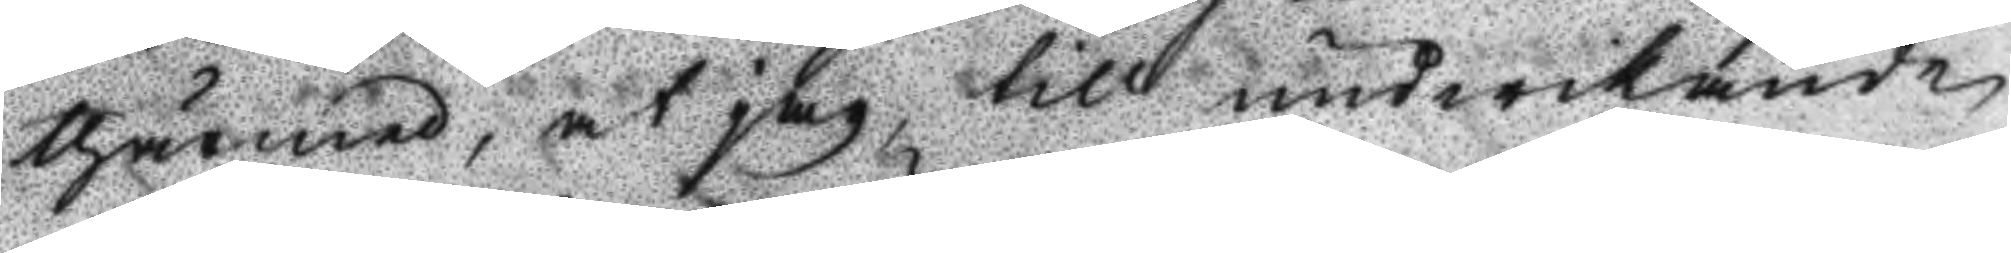thärmed, at jag till undwikande
